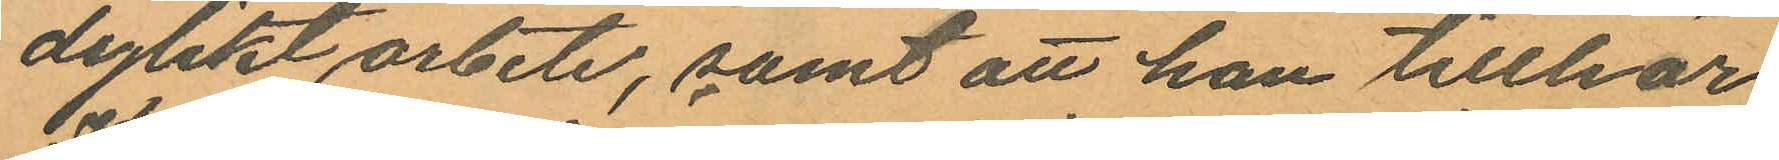dylikt arbete, samt att han tillhör
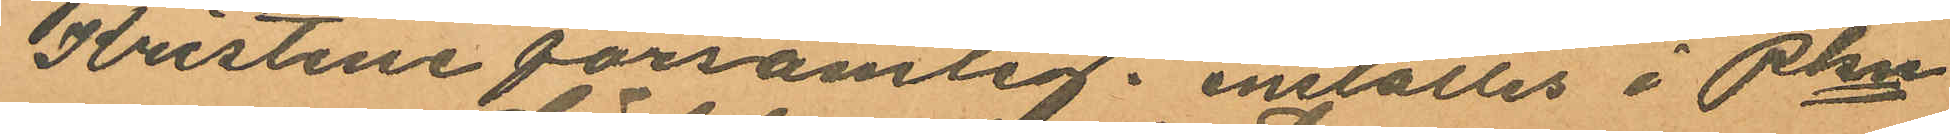Kristine församlig. inställes i Pkn
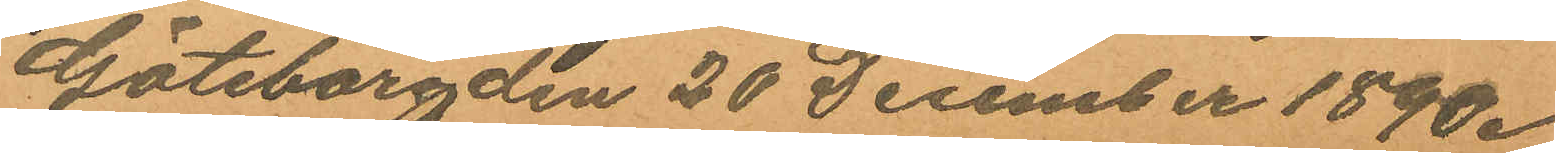Göteborg den 20 December 1890.
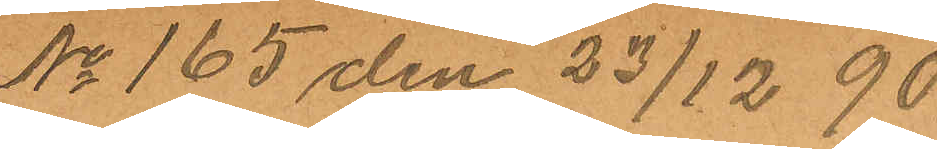No 165 den 23/12 90
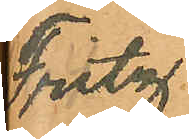Fritz
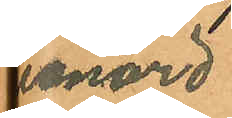Leonard
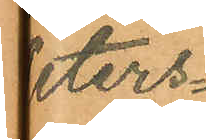Peters¬
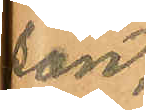son.
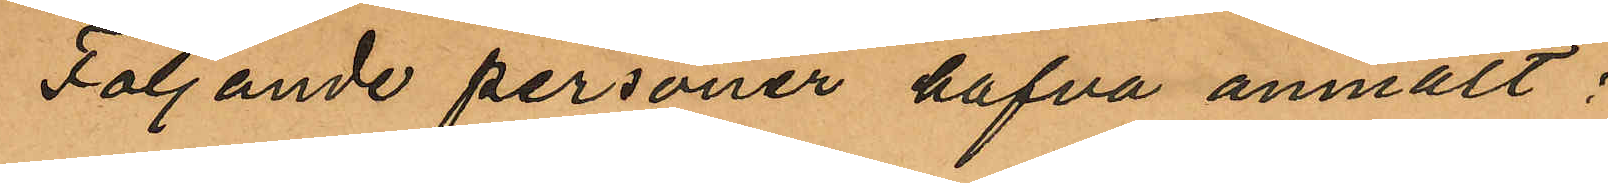Följande personer hafva anmält:
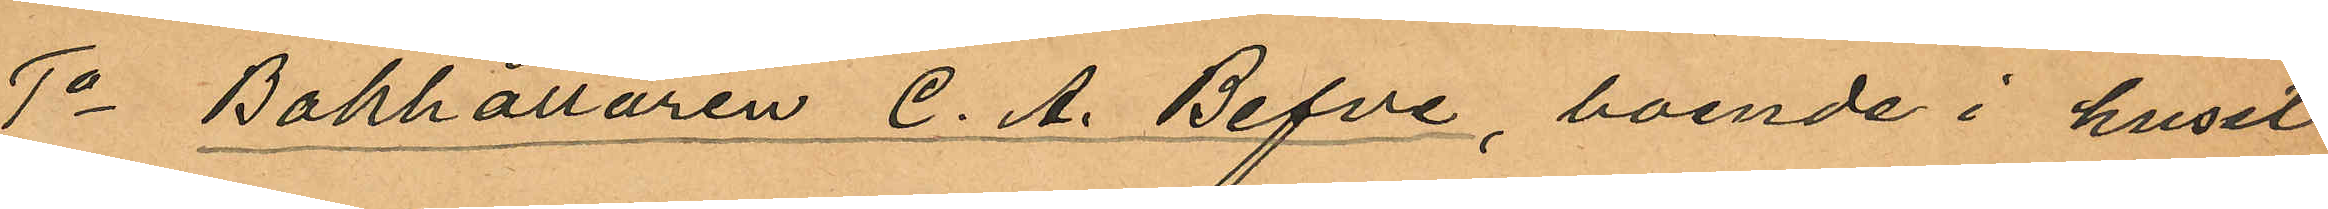1o Bokhållaren C. A. Befve, boende i huset
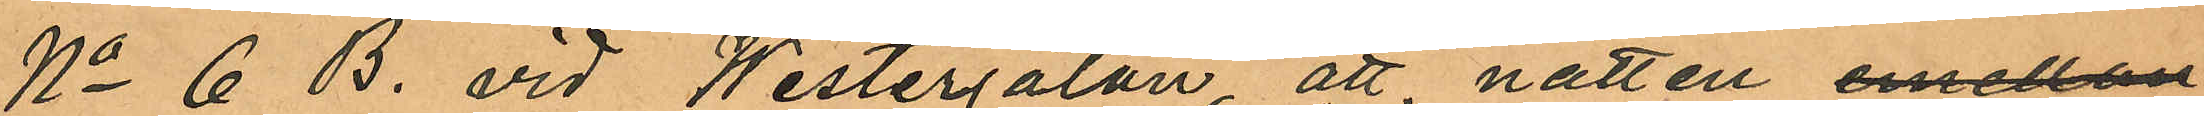No 6 B. vid Westergatan, att natten emellan
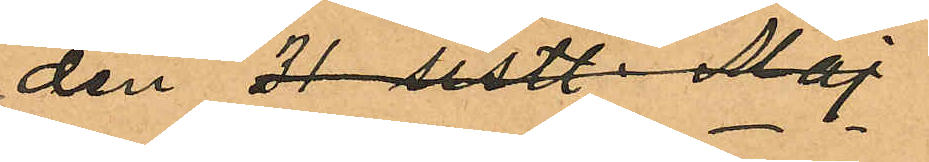den 31 sistl. Maj
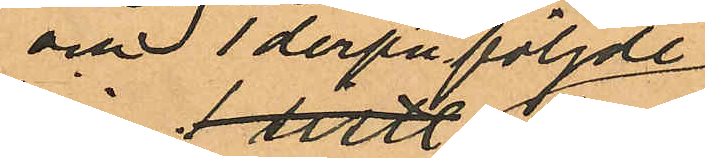och 1 derpåföljde
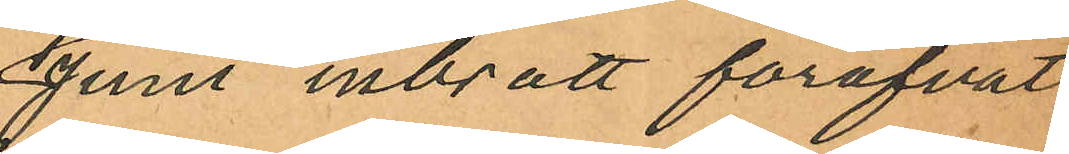Juni inbrott föröfvats
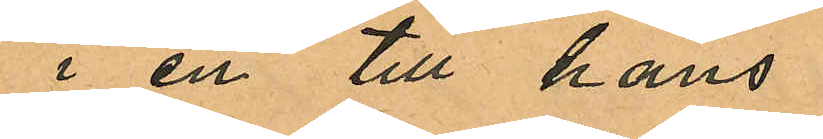i en till hans
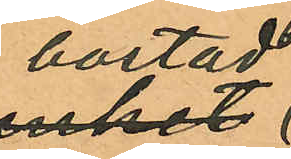bostad
